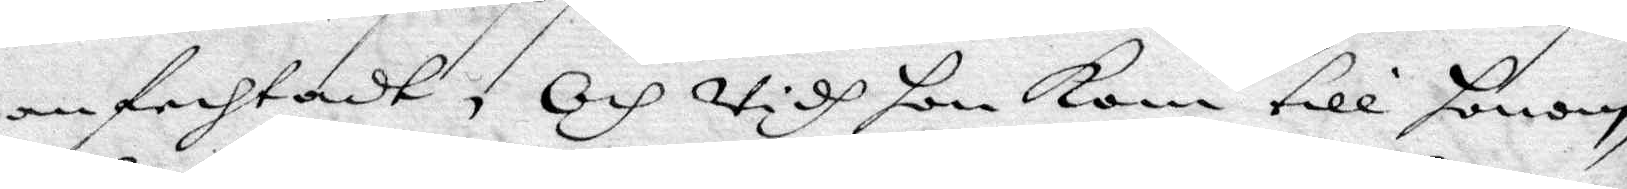anfechtadt, Och widh hon Kom till honom,
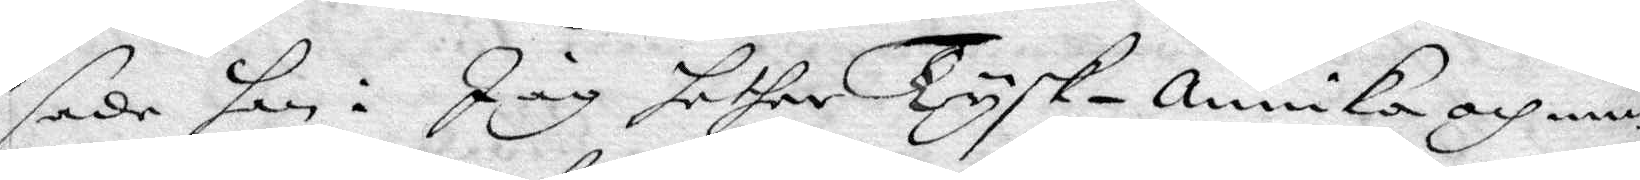sade hon: Jag hether Tysk-annika och min
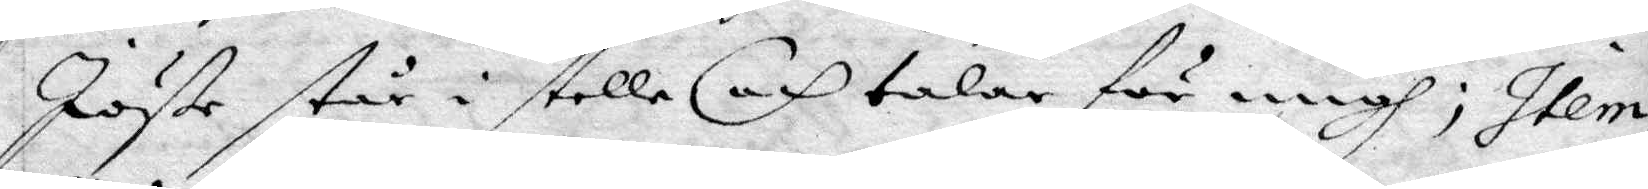Jöße står i stelle och talar för migh; Item
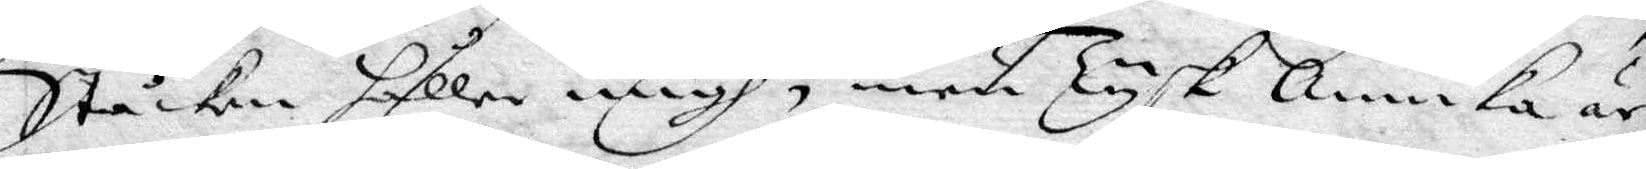Ståcken håller migh, men Tysk annika är
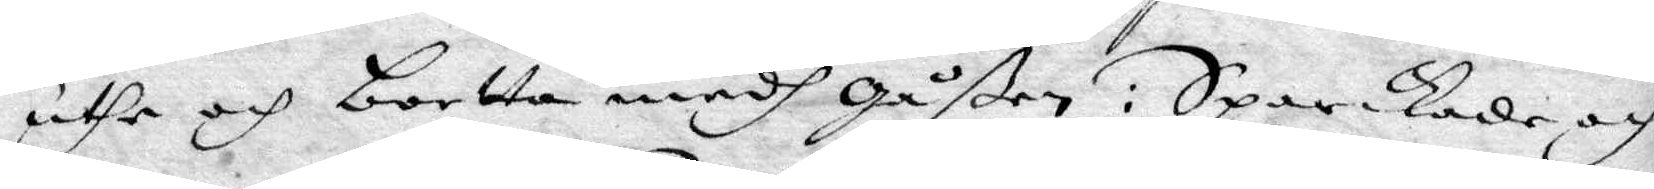uthe och bortta medh gåßen: Sparkade och
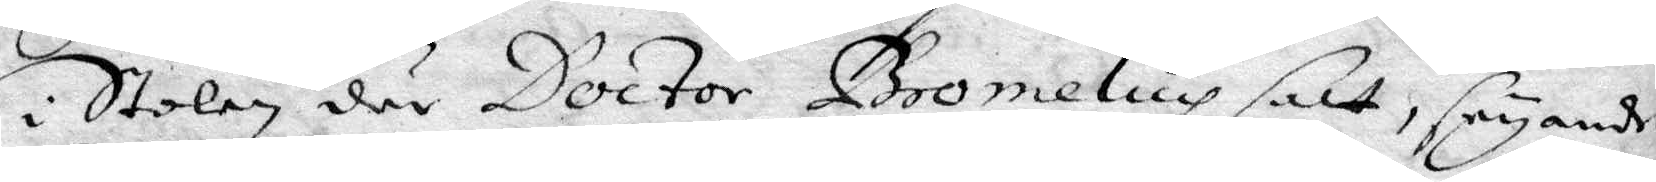i Stolen där Doctor Bromelius satt, seyandes:
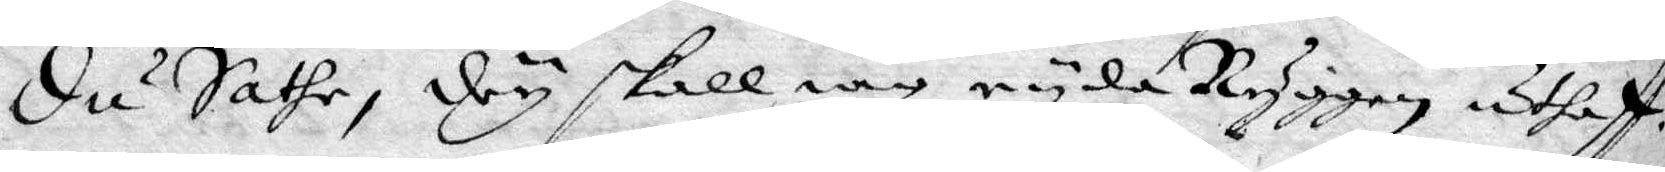Du Sathe, dy skall iag ryda Ryggen uthaff.
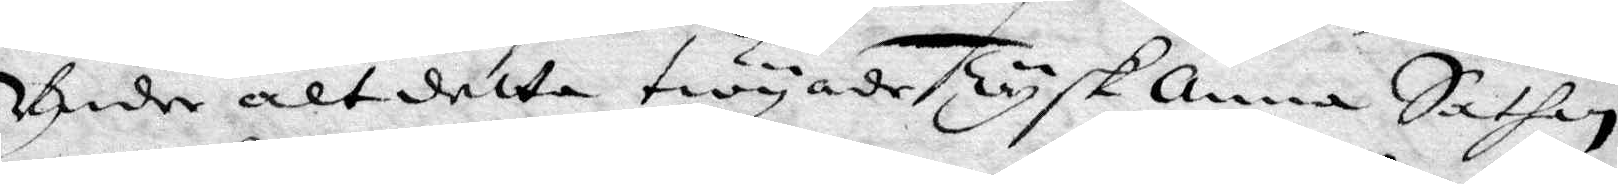Under alt detta twyade Tysk anna Sathan
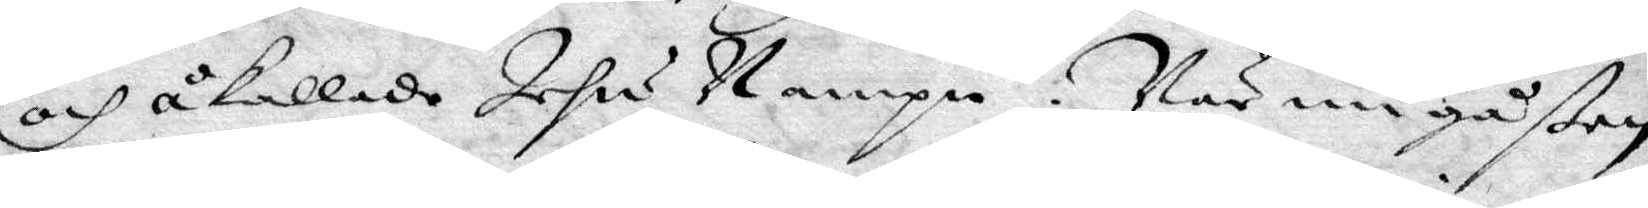och åkallade Jesu Nampn. När nu gåßen
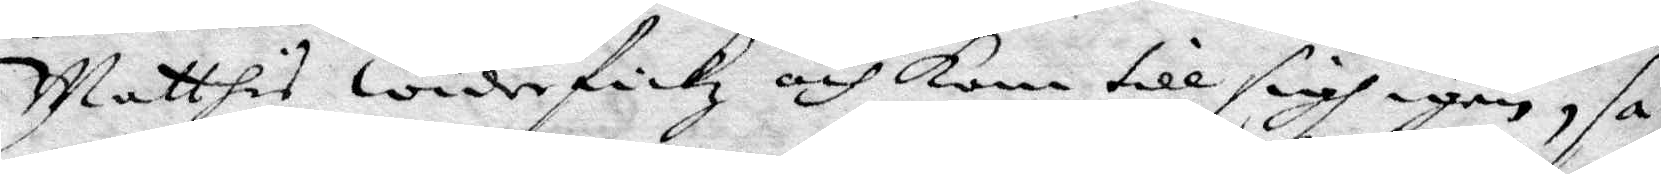Matthis widerfickz och kom till sigh igen, sag¬
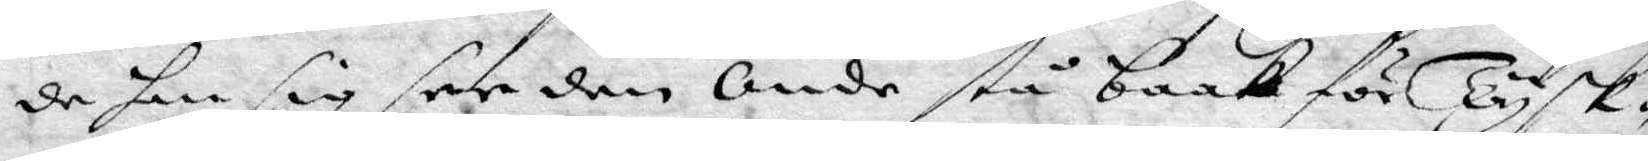de han sig see den Onde stå baak för Tysk¬
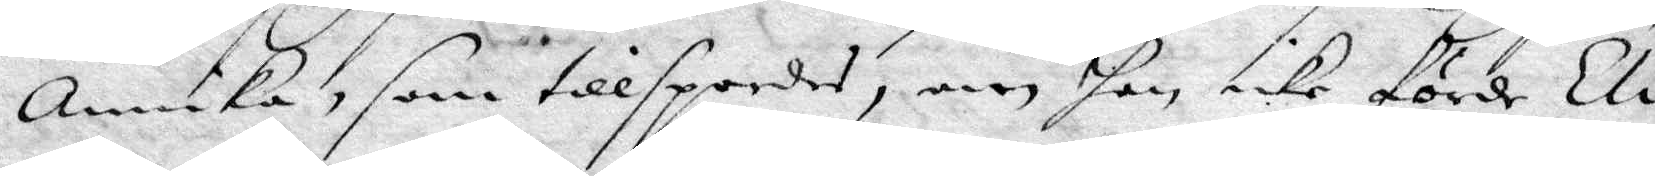annika, som tillspordes, men hon icke förde Eli¬
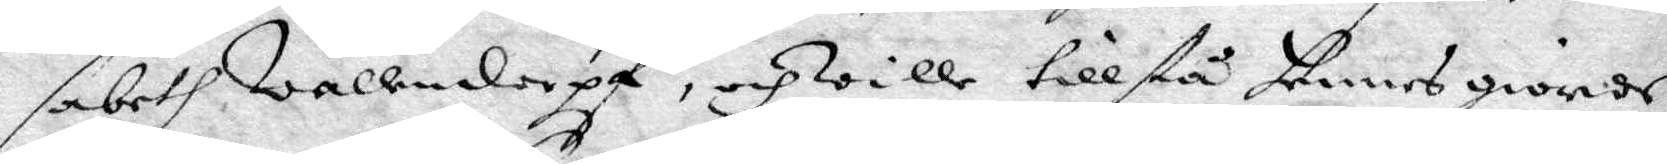sabeth Wallendorpf, och wille tillstå hennes giorde
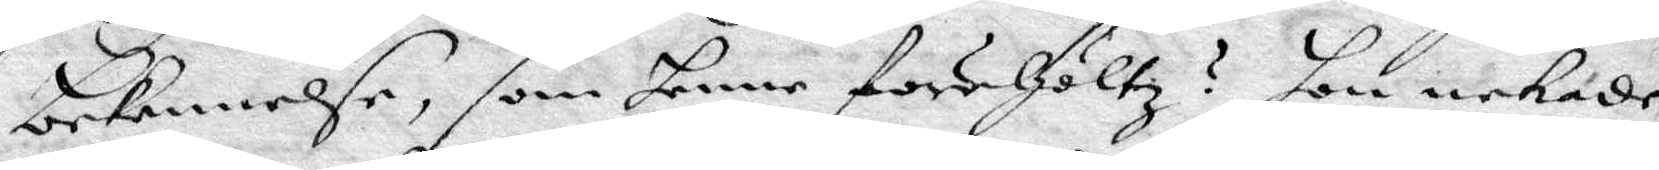bekennelse, som henne förehöltz? hon nekade
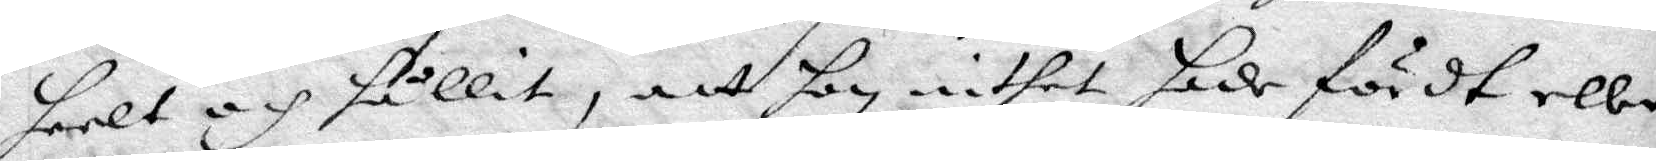heelt och hållit, att hon inthet hade fördt eller
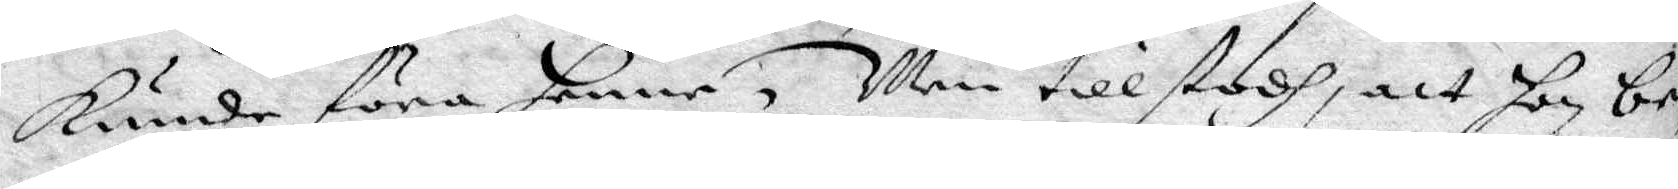Kunde föra henne, Men tillstodh, att hon be¬
